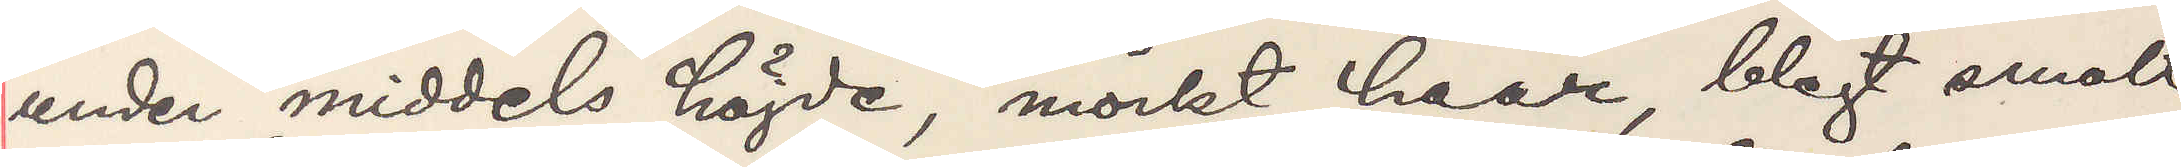under middels höjde, mörkt haar, blegt smalt
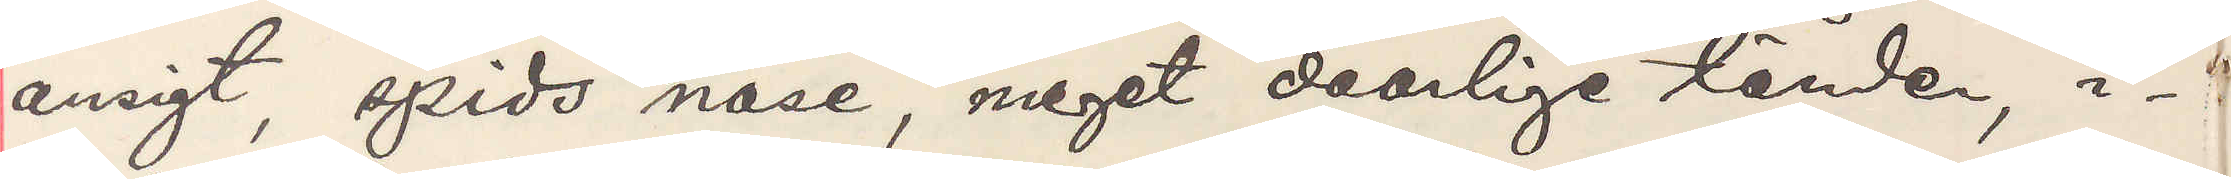ansigt, spids näse, meget daarlige tänder, i¬
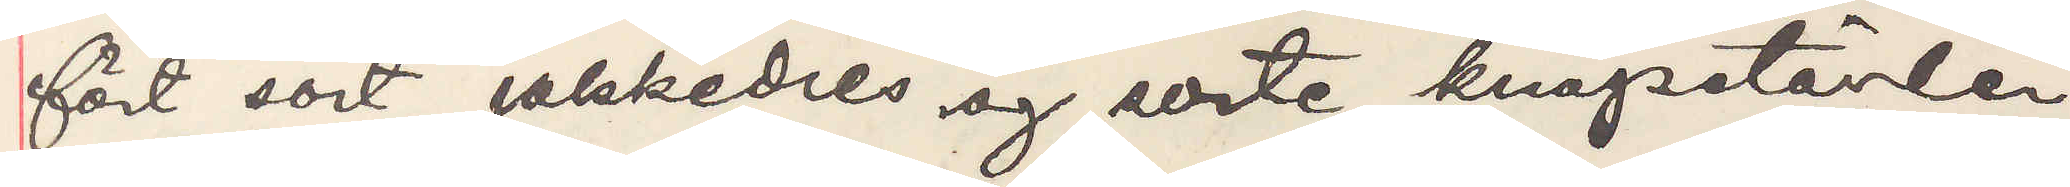fört sort jakkedres og sorte knapstövler,
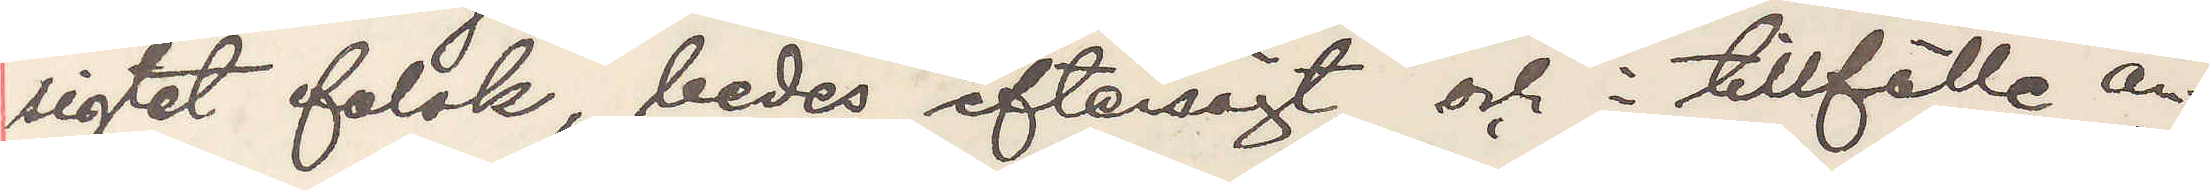sigtet falsk, bedes eftersögt og i tillfälle an¬
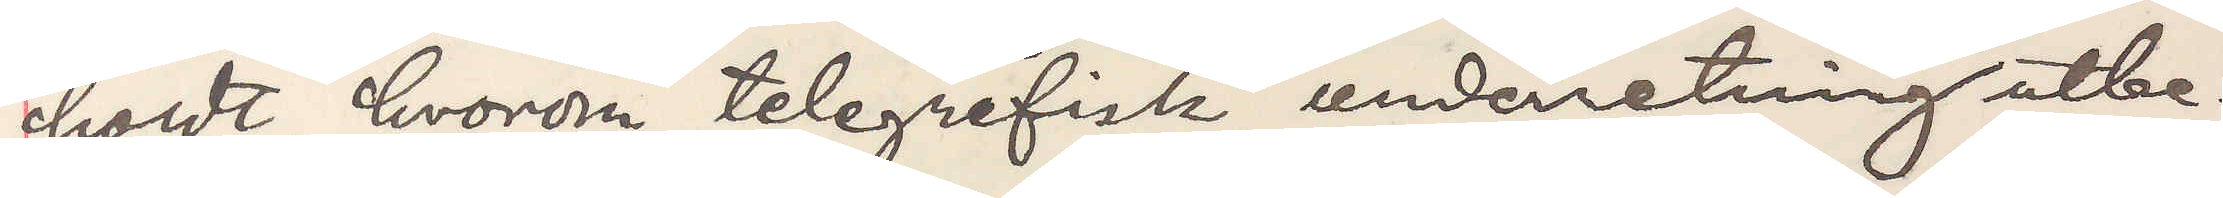holdt, honom telegrafisk underretning utbe¬
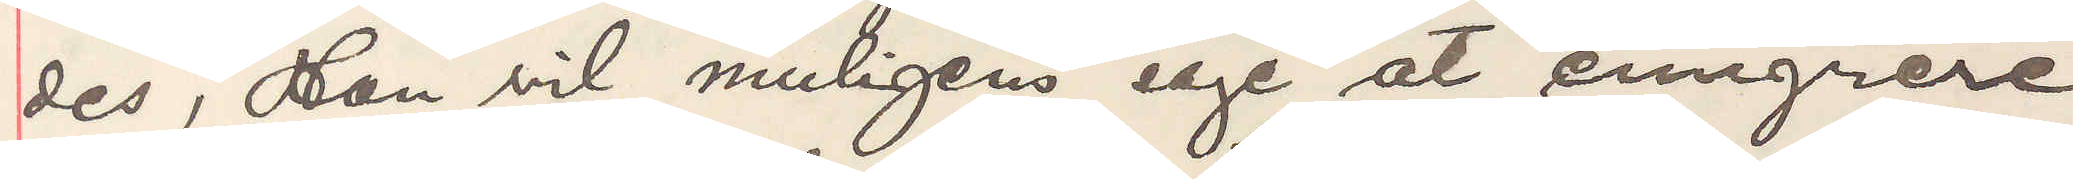des, Han vil muligen söge at emigrere
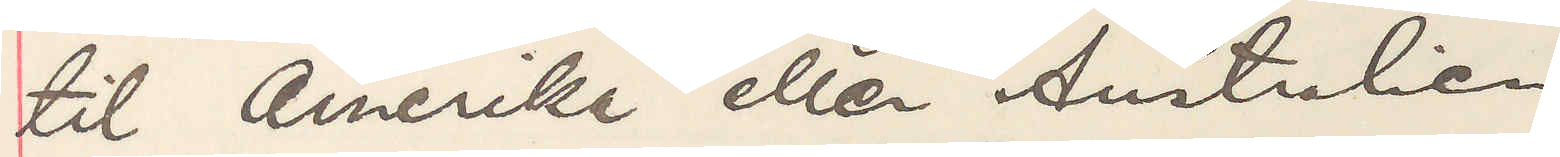til Amerika eller Australien
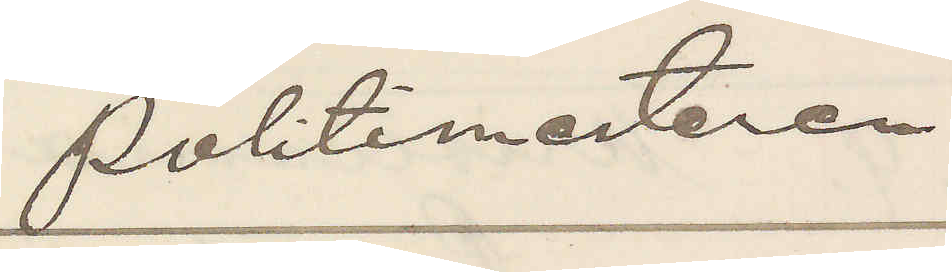Politimesteren
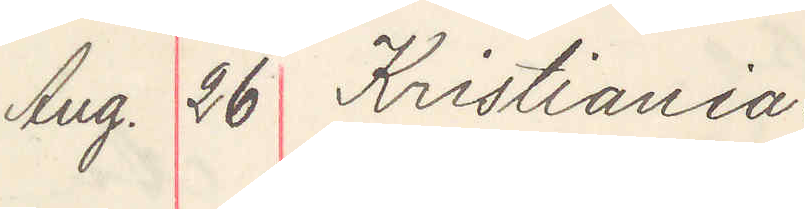Aug. 26 Kristiania
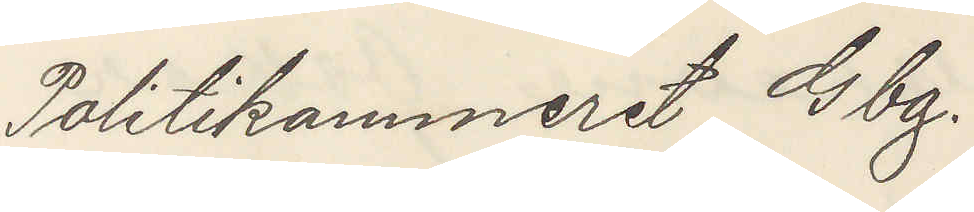Politikammeret Gbg.
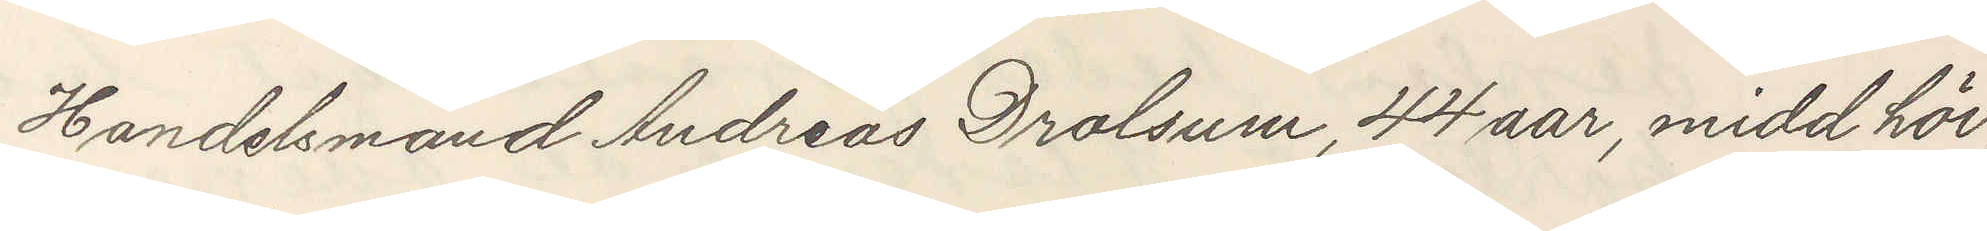Handelsmand Andreas Drolsum, 44 aar, midd höi,
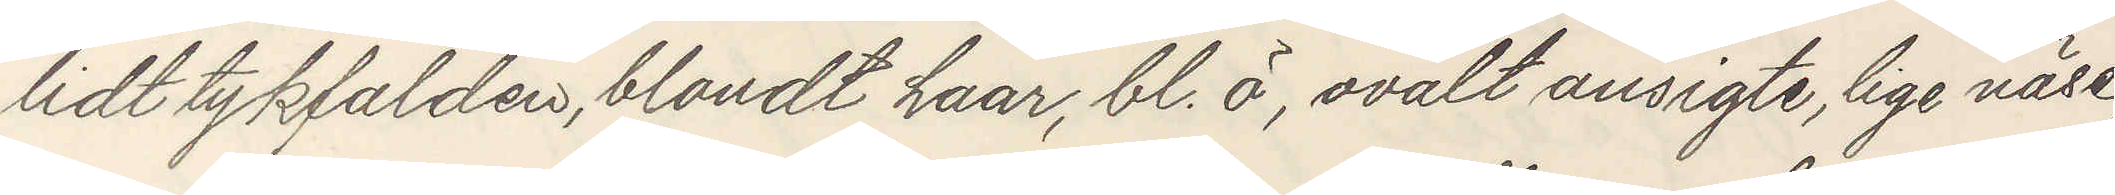lidt tykfalden, blondt haar, bl. ö, ovalt ansigte, lige näse,
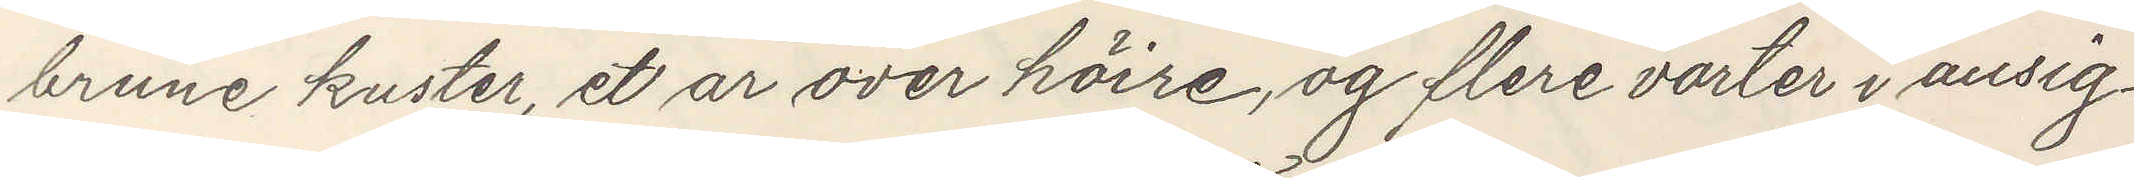brune kuster, et ar over höire, og flere vorter i ansig¬
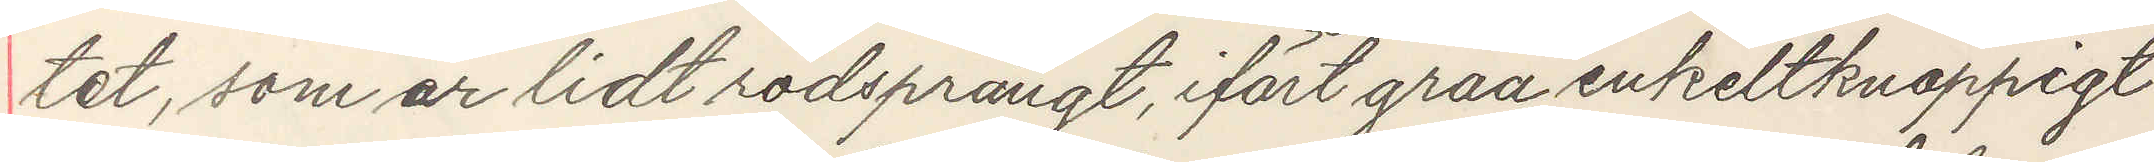tet, som er lidt rödsprängt, ifort graa enkelknappigt
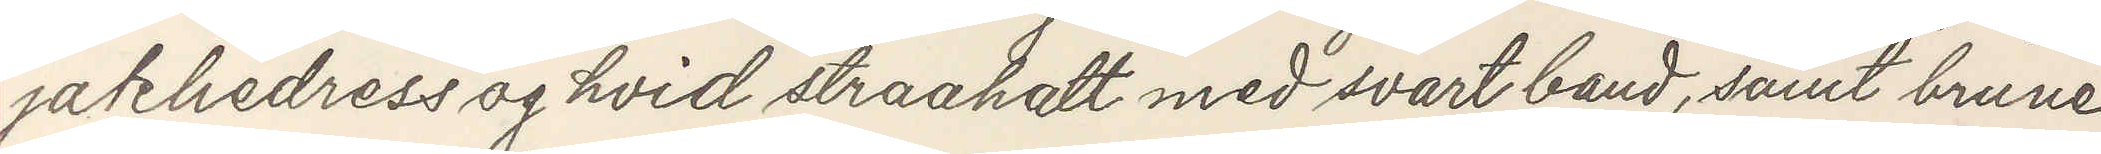jakkedress og hvid straahatt med svart band, samt brune
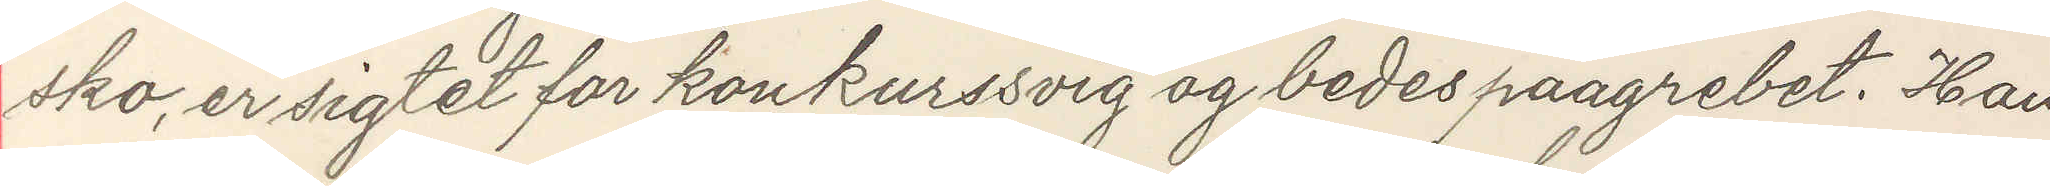sko, er sigtet for konkurssvig og bedes paagrebet. Han
